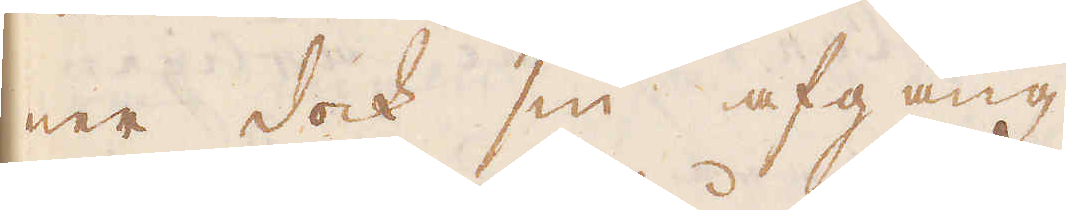ner dock sin afgång.
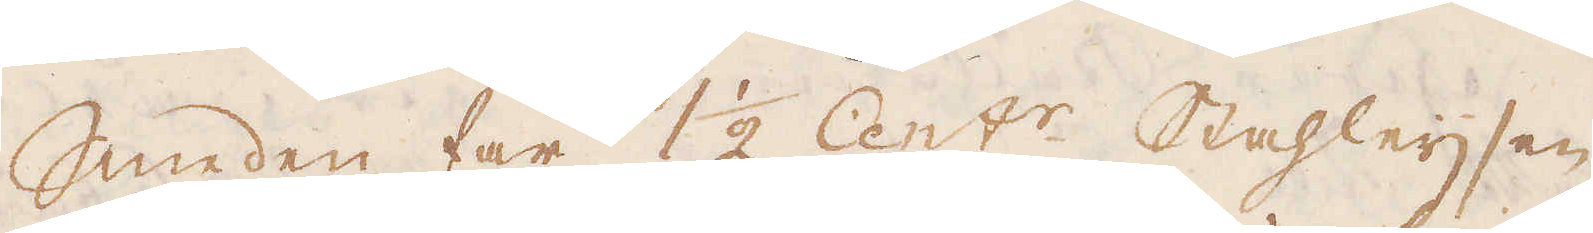Smeden får 1 1/2 Cent:r. Stahleijsen
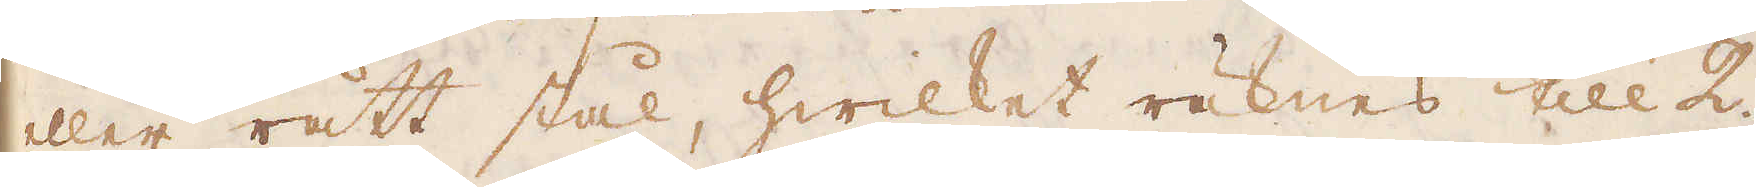eller rätt stål, hwilket räknas till 2.
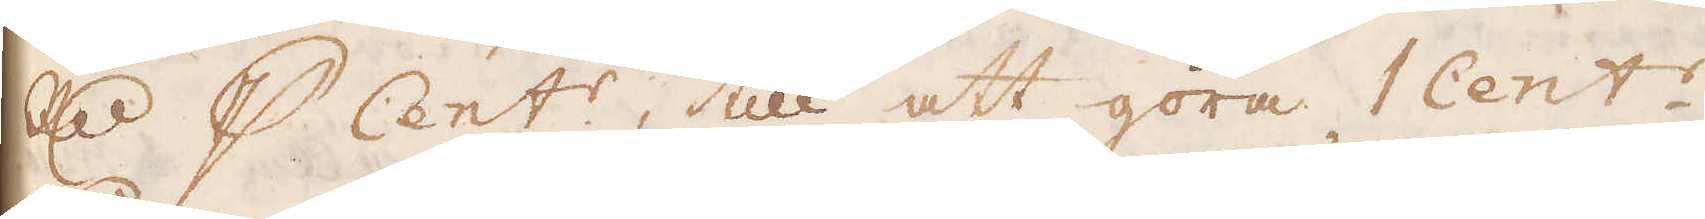R:dr p Cent:r, till att göra Cent:r
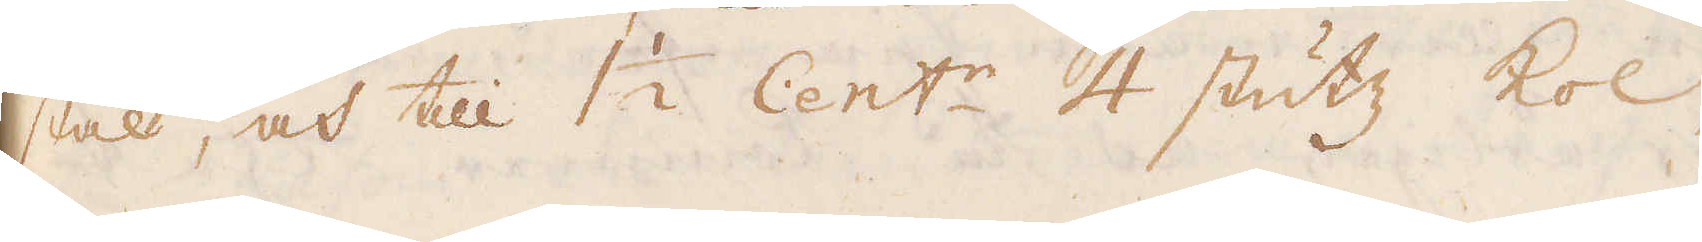stal, och till 1 1/2 Cent:r 4 stutt kol,
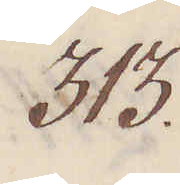313.
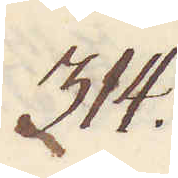314.
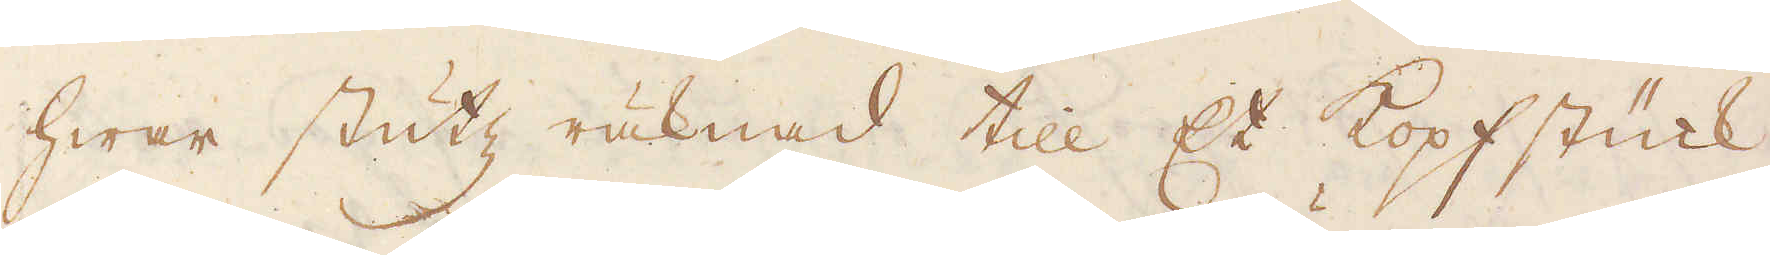hwar stutz räknad till Et kopfstück,
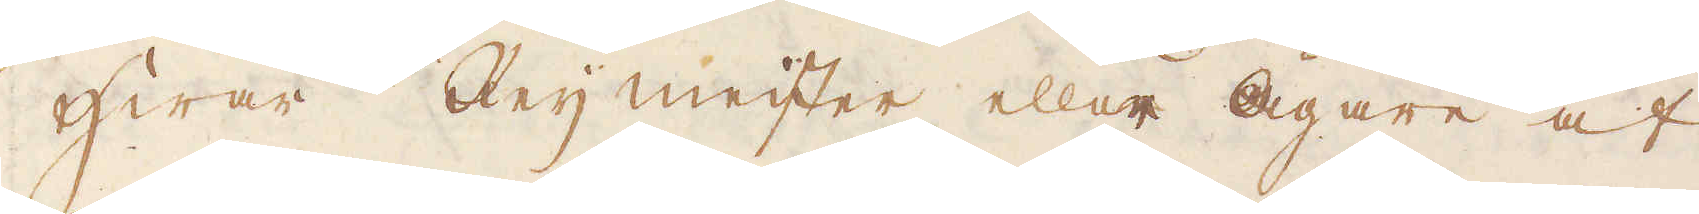hwar Reijmeister eller Ägare af
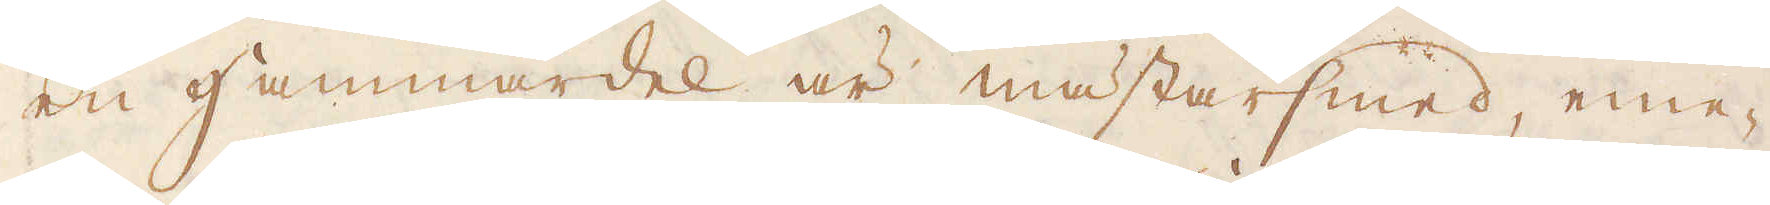en Hammardel är mästarsmed, eme-
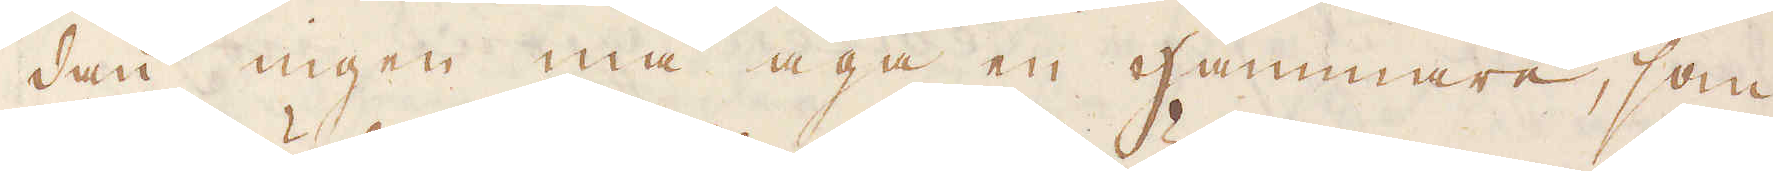dan ingen må äga en Hammare, som
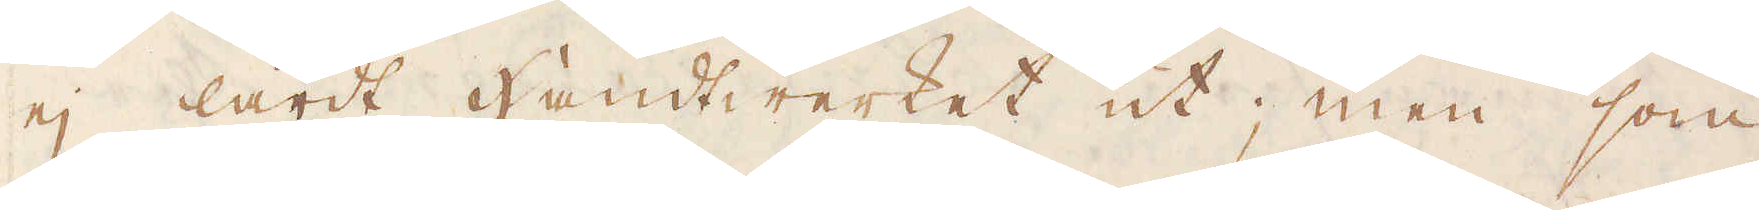ej lärdt Hantwerket ut; men som
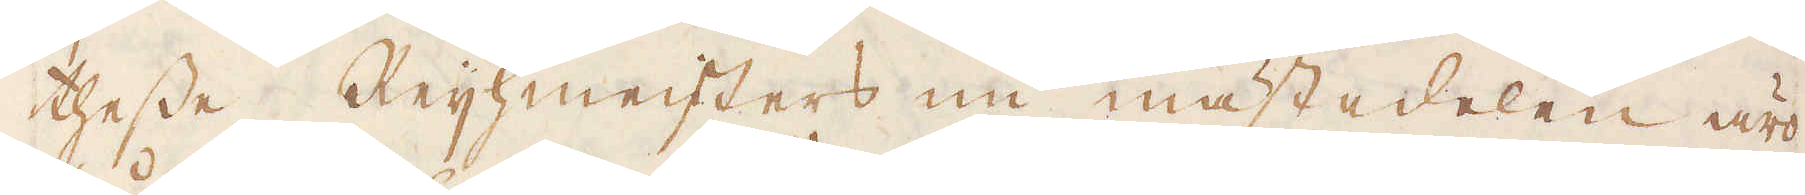thesse Reihmeisters nu mästedelen äro
